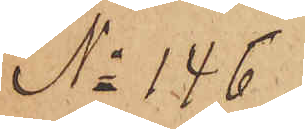No 146.
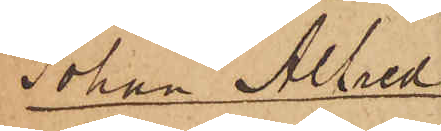Johan Alfred
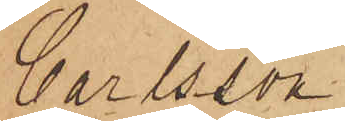Carlsson.
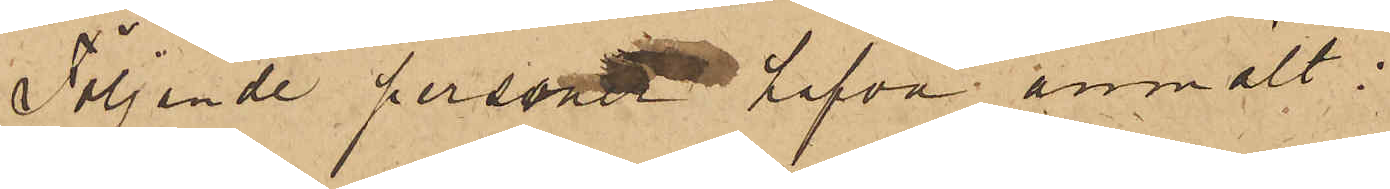Följande person hafva anmält:
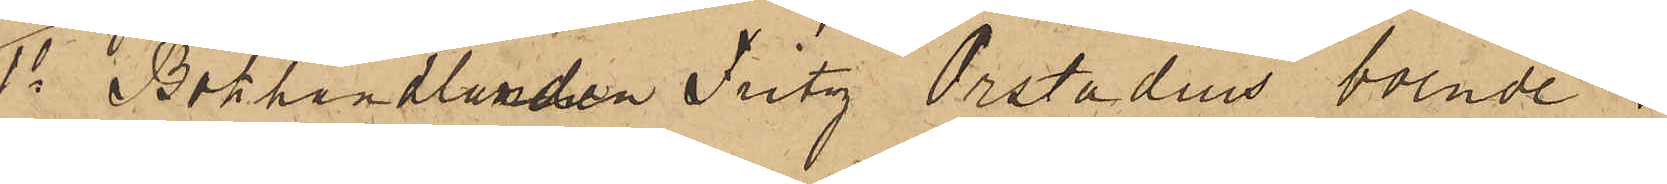1o Bokhandlanden Fritz Orstadius boende i
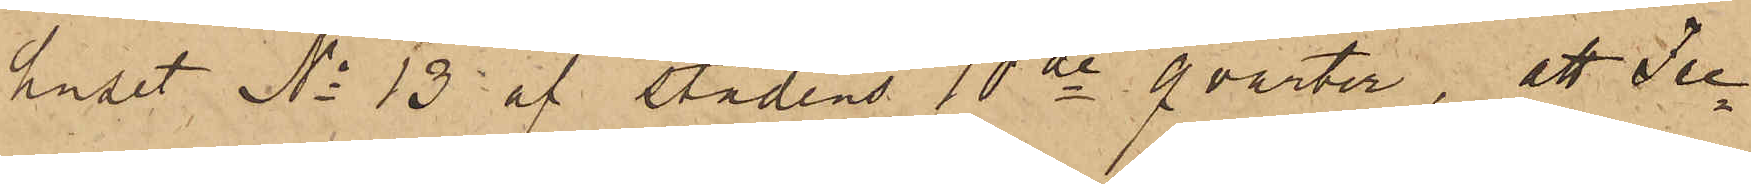huset No 13 af Stadens 10de qvarter; att Fre¬
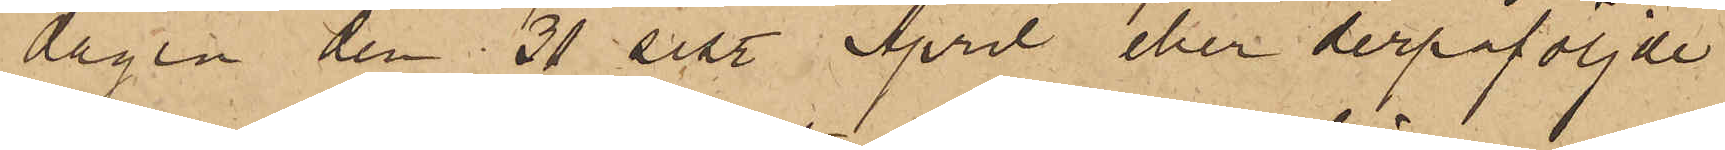dagen den 30 sist. April eller derpåföljde
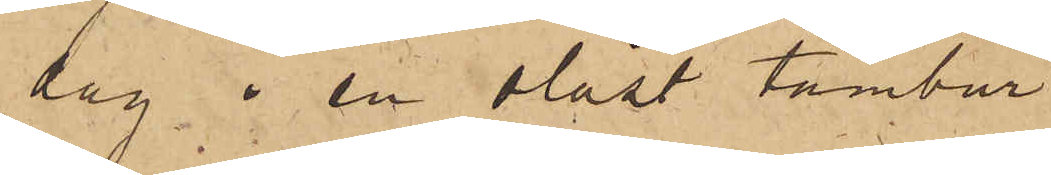dag i en olåst tambur
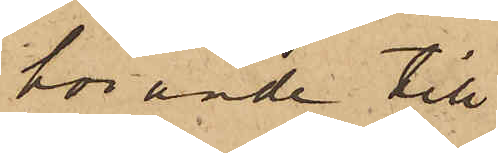hörande till
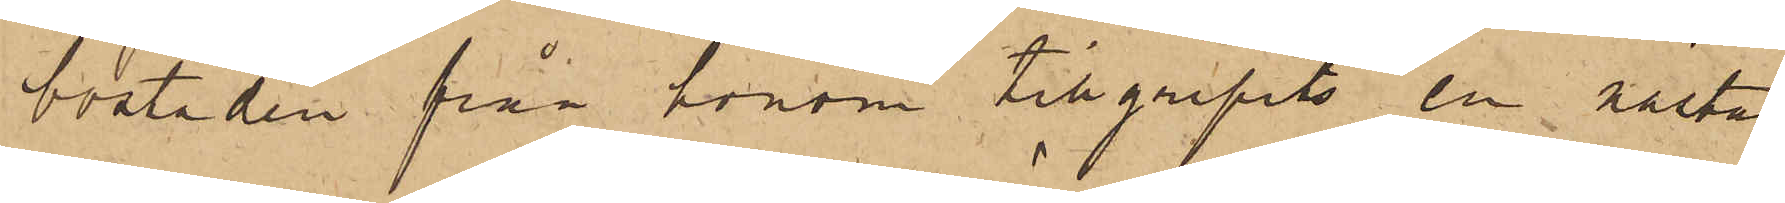bostaden från honom tillgripits en nästan
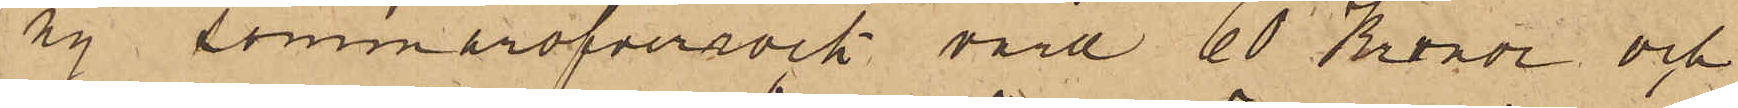ny sommaröfverrock värd 60 Kronor och
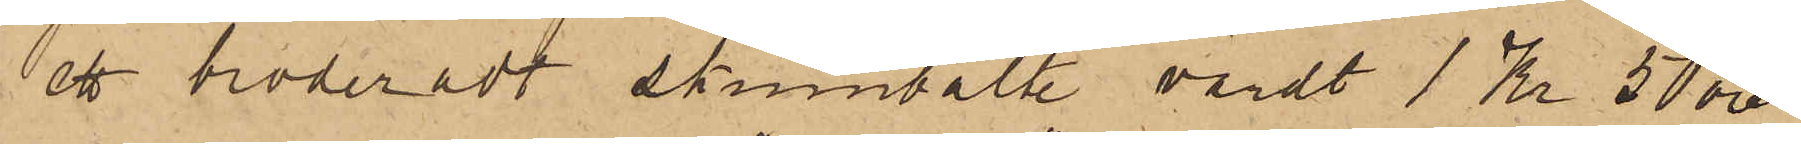ett broderadt skinnbälte värdt 1 Kr 50 öre
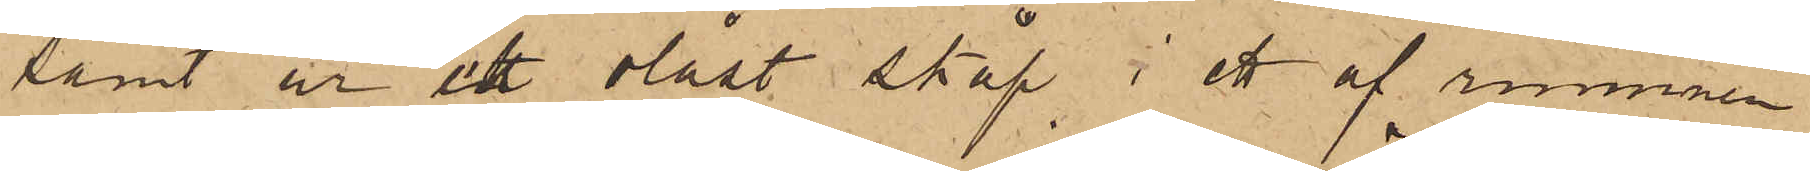samt ur ett olåst skåp i ett af rummen
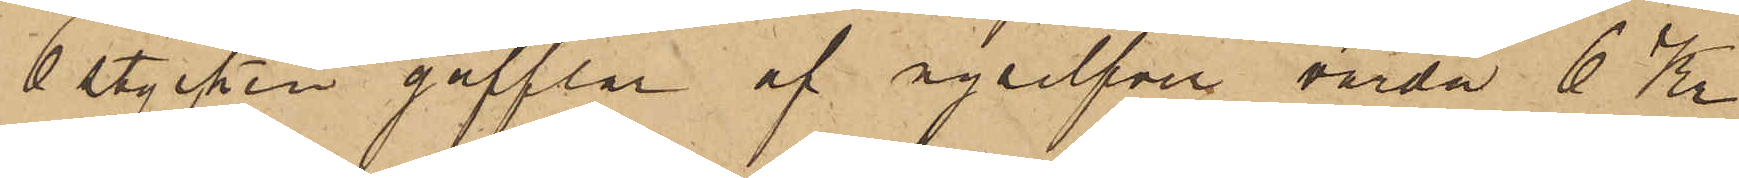6 stycken gafflar af nysilfver, värda 6 Kr.
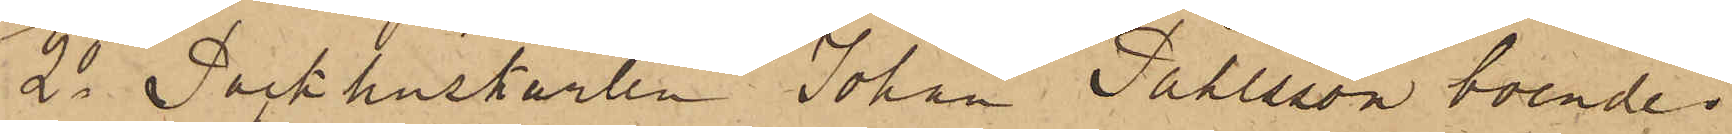2o Packhuskarlen Johan Påhlsson boende
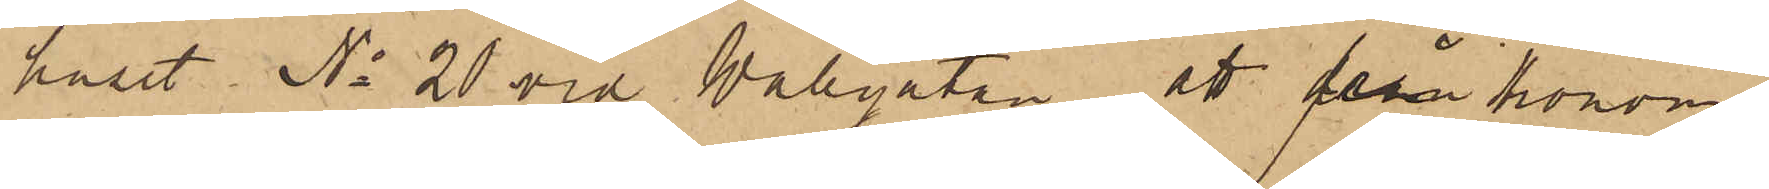huset No 20 vid Vallgatan, att från honom
